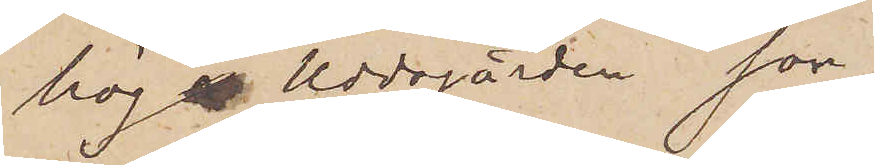hög Uddegården son
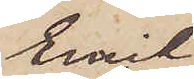Emil,
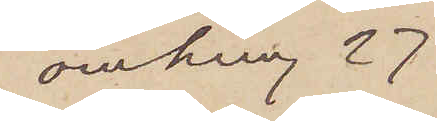omkring 27
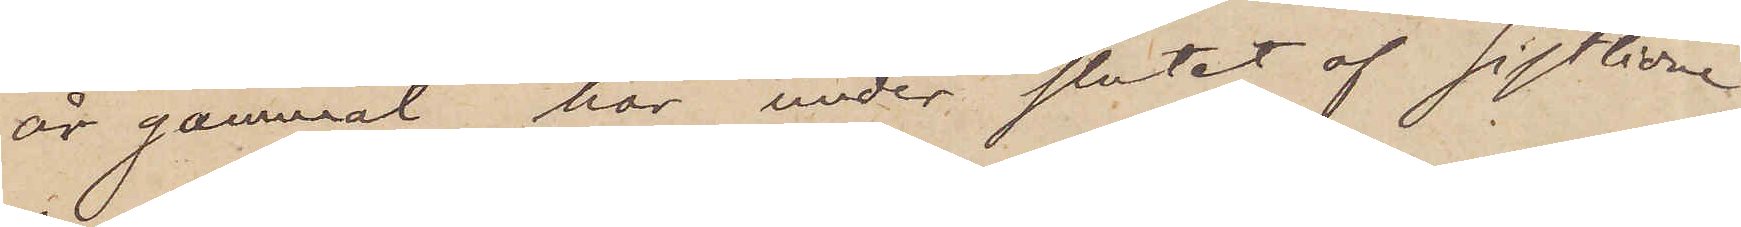år gammal, har under slutet af sistlidne
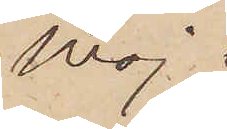Maj
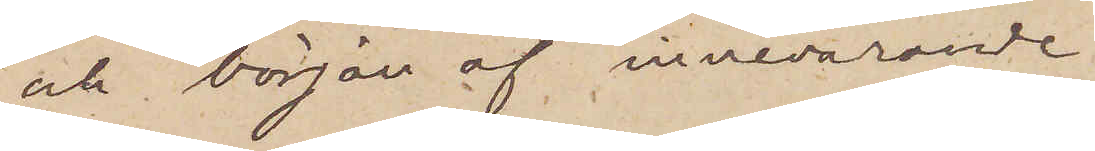och början af innevarande
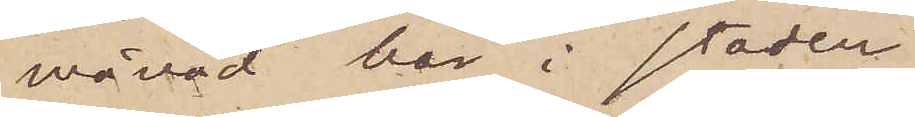månad här i staden
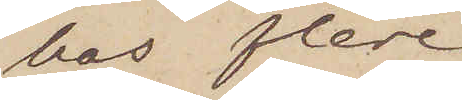hos flere
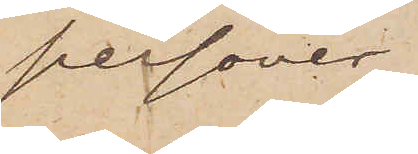personer
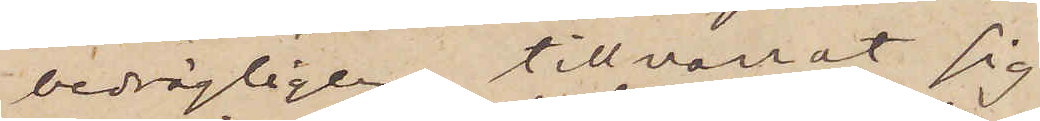bedrägligen tillnarrat sig
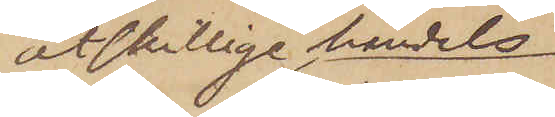åtskillige handels¬
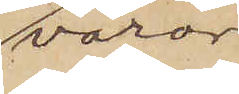varor,
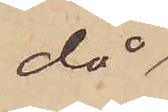då
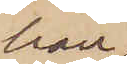han
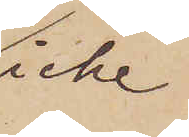icke
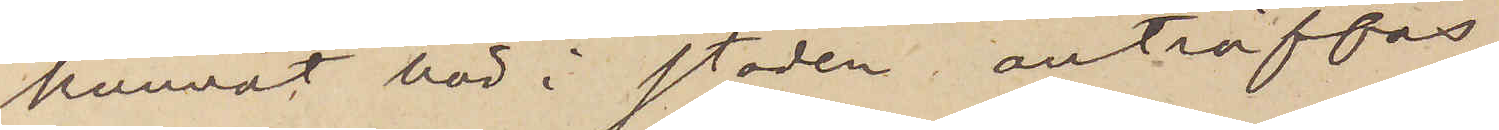kunnat här i staden anträffas,
